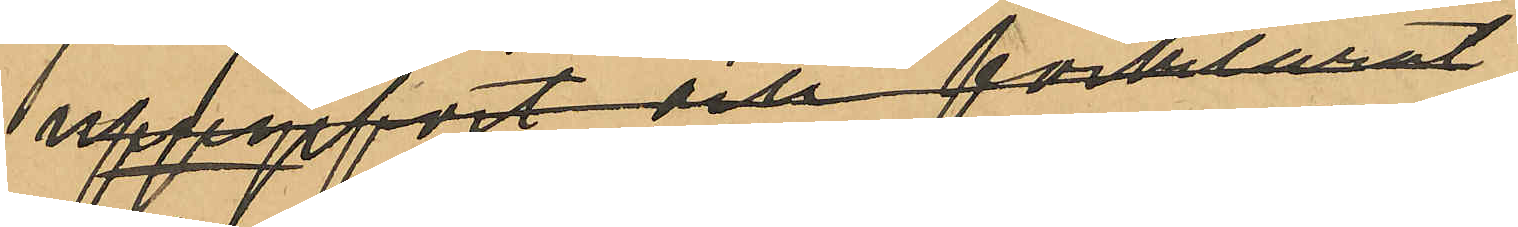uppgifvit och förklarat
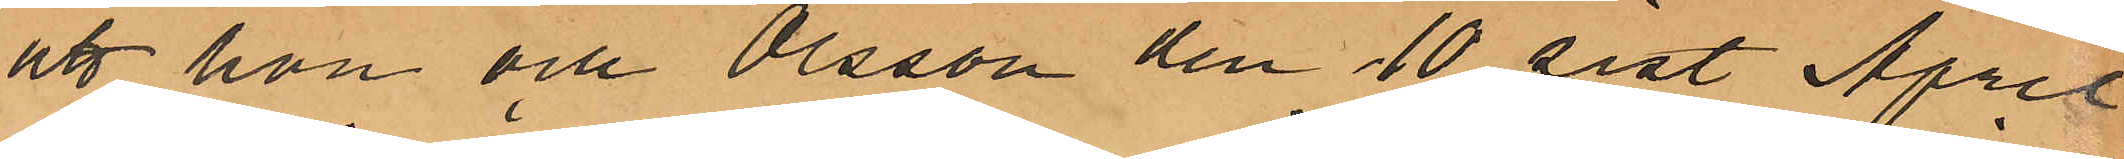att hon och Olsson den 10 sist April
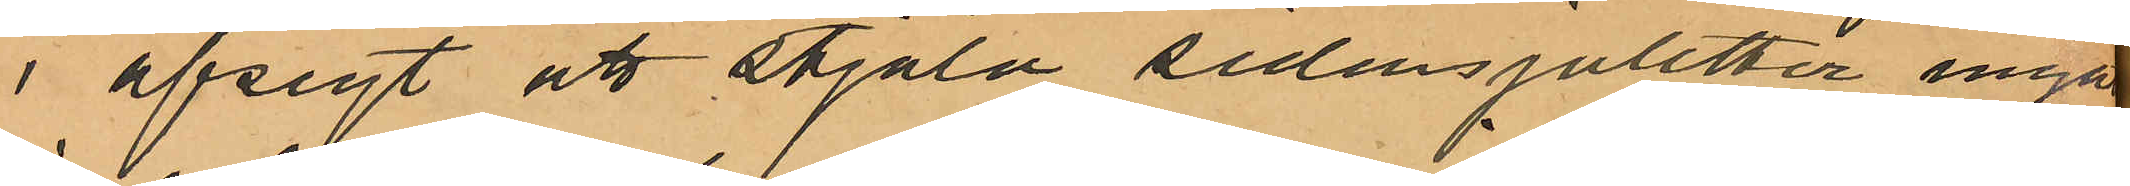i afsigt att stjäla sidensjaletter inngått
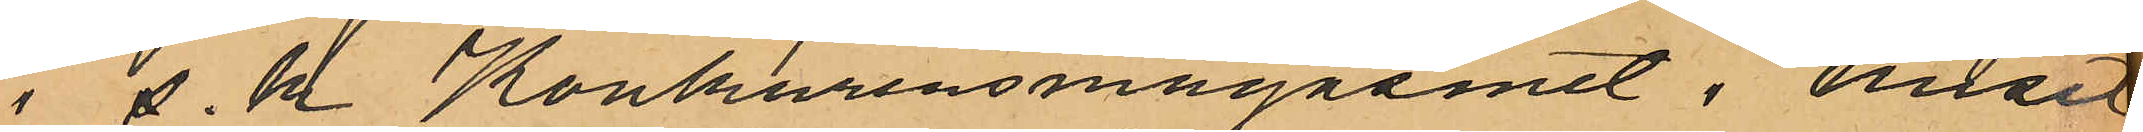i  s.k Konkurensmagasinet i huset
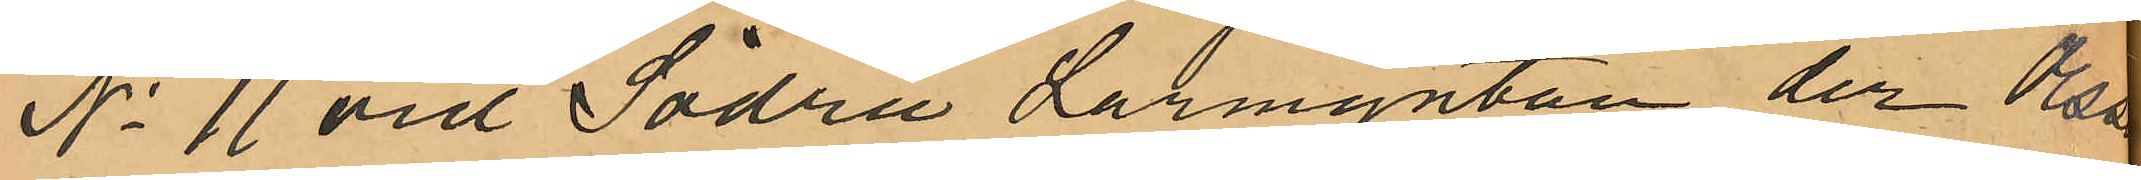No 11 vid Södra Larmgatan, der de
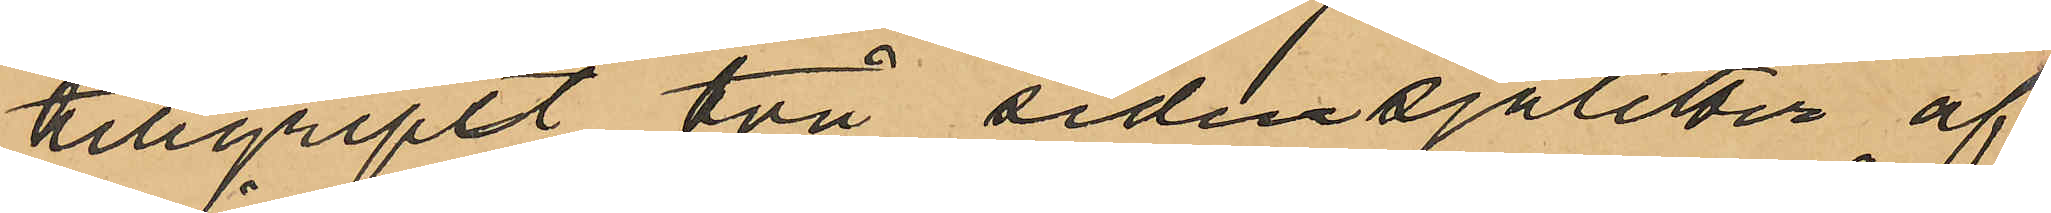tillgripit två sidensjaletter af
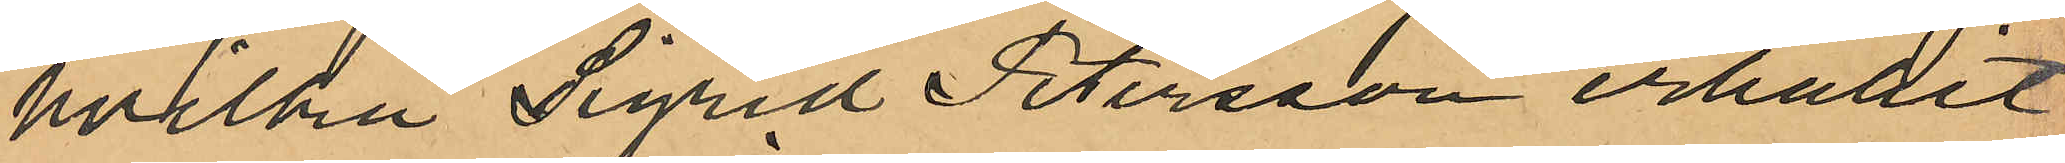hvilka Sigrid Petersson erhållit
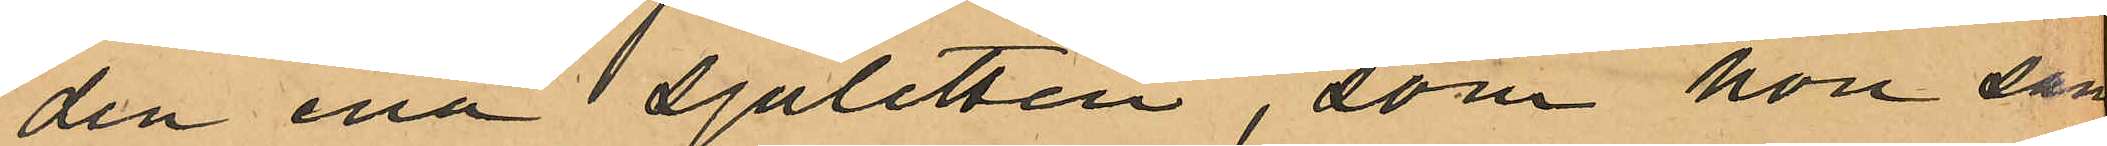den ena sjaletten, som hon sam¬
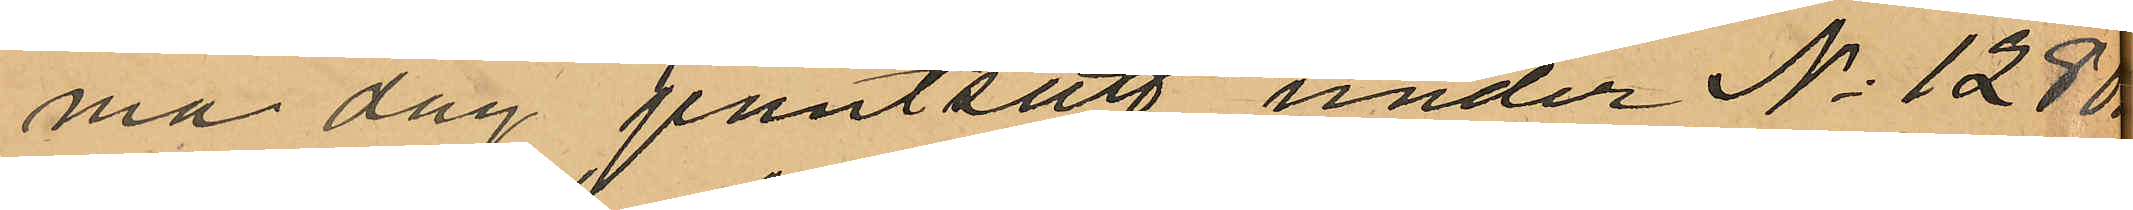ma dag pantsatt under No 1280
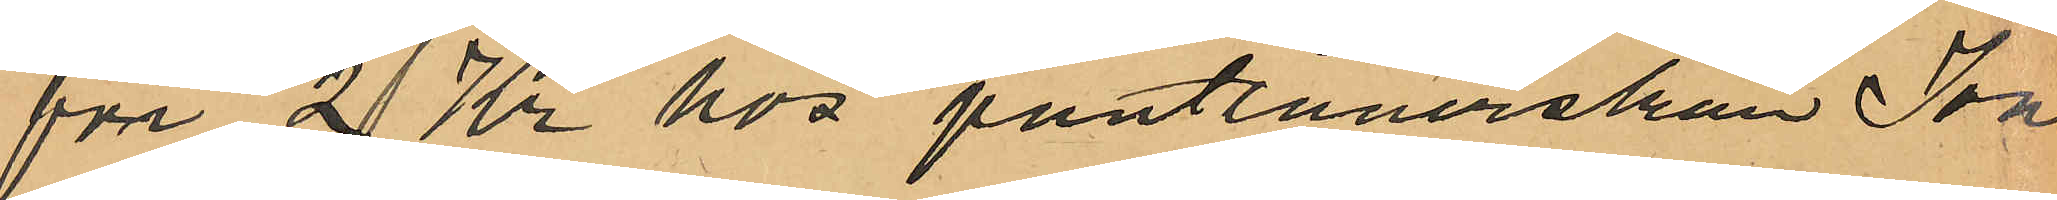för 2 Kr hos pantlånerskan Jon¬
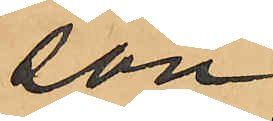son,
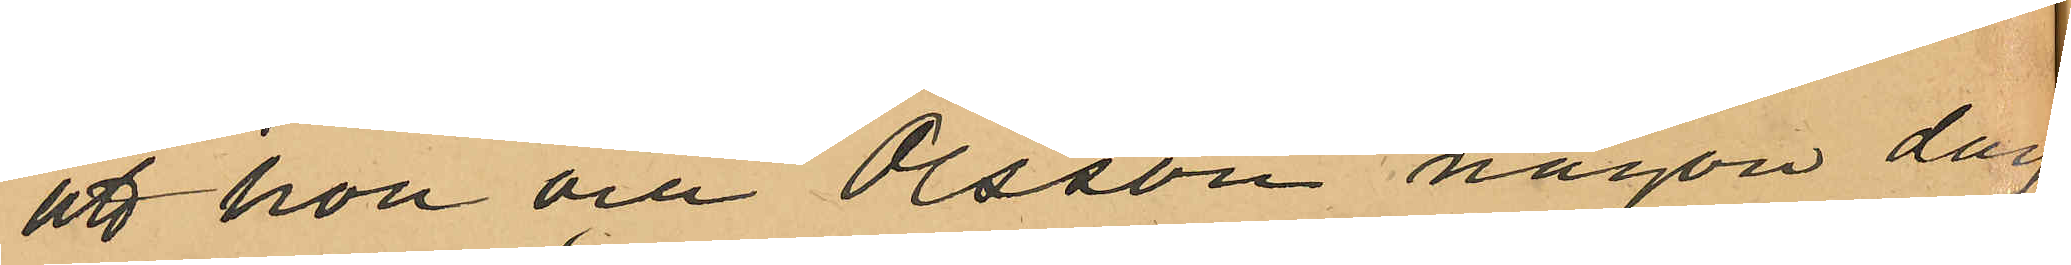att hon och Olsson någon dag
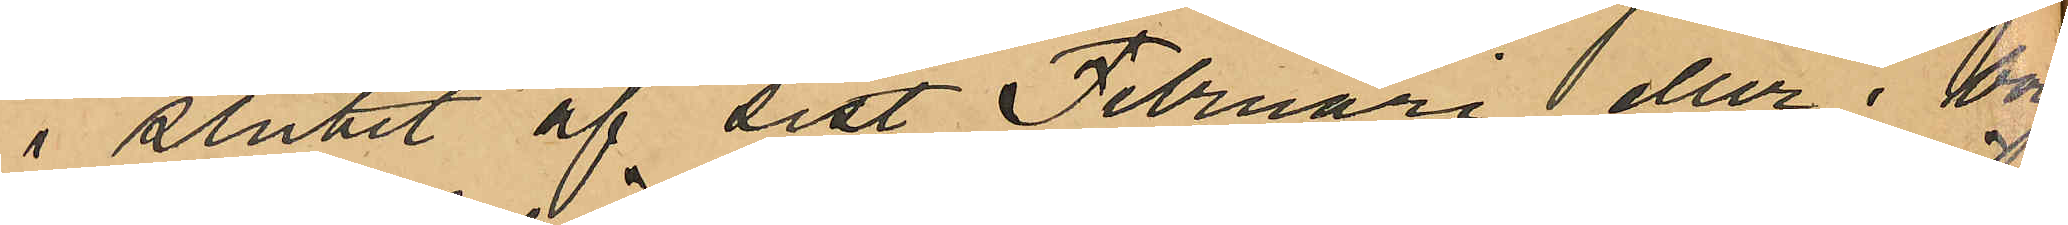i slutet af sist Februari eller i början
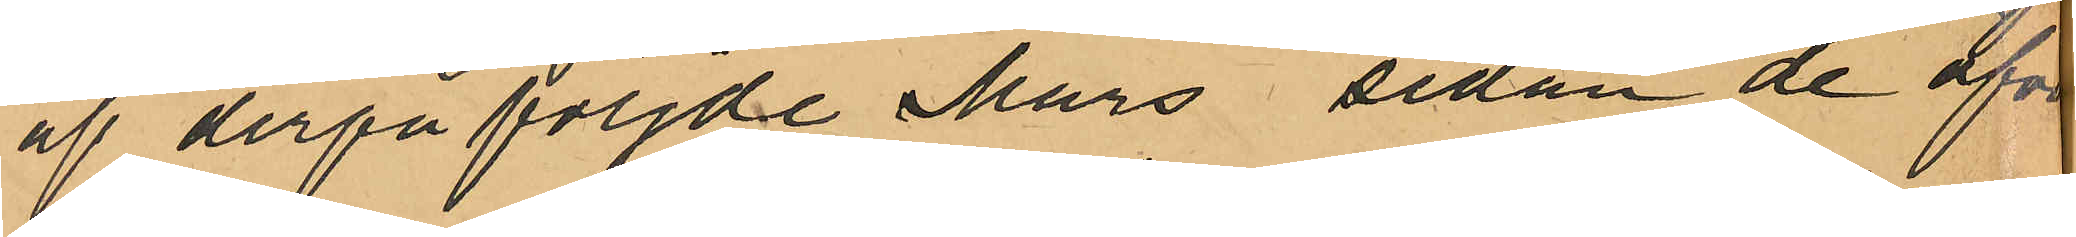af derpåföljde Mars sedan de öfver¬
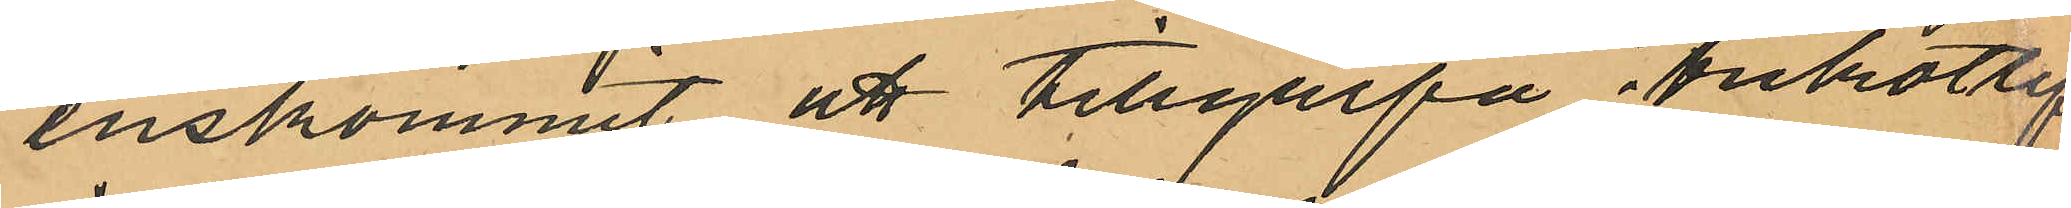enskommit att tillgripa trikotlif
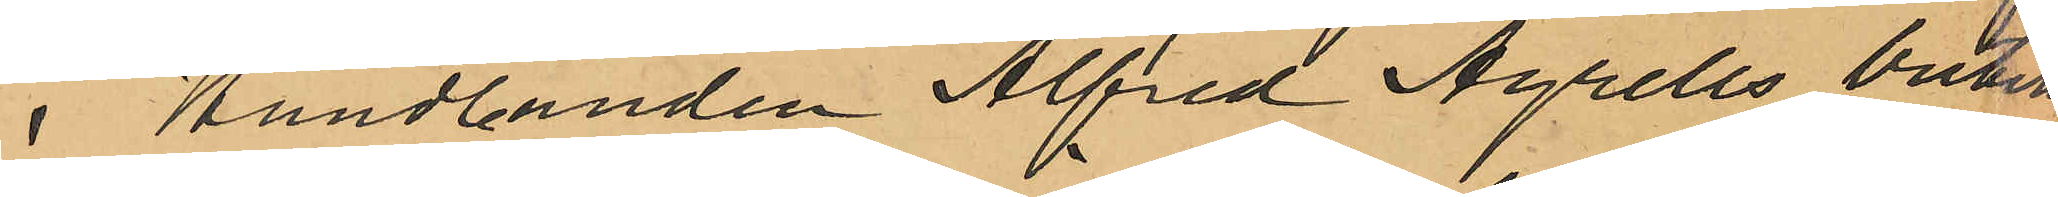i Handlanden Alfred Agrells butik
